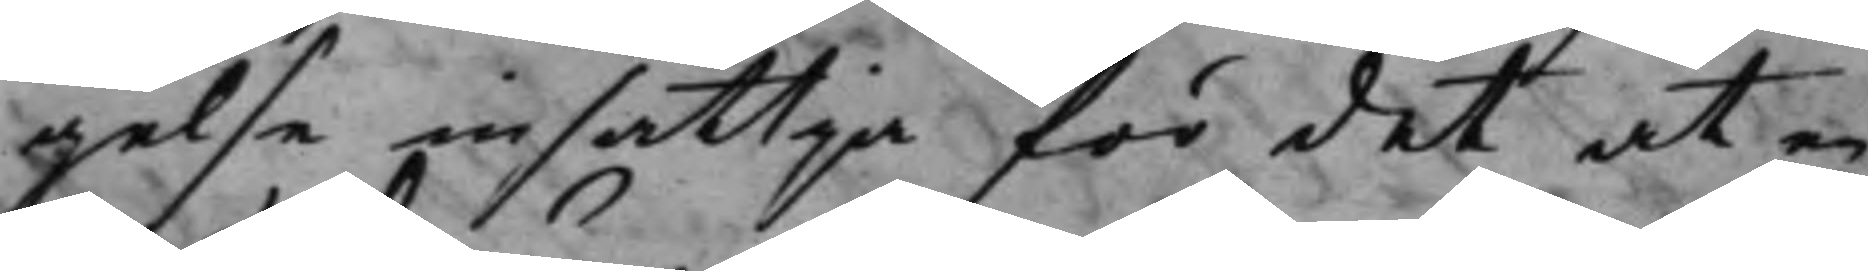gelse insättja för det at en
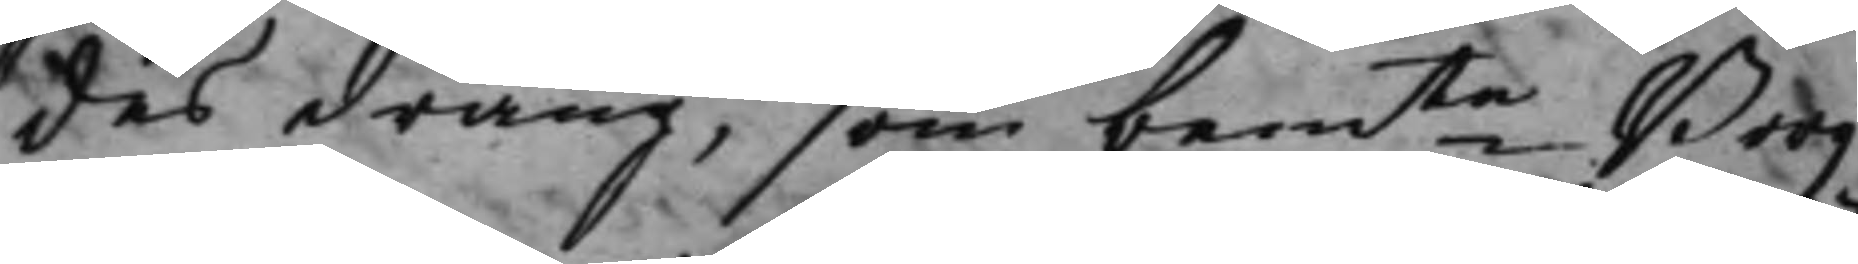des dräng, som bemte Borg¬
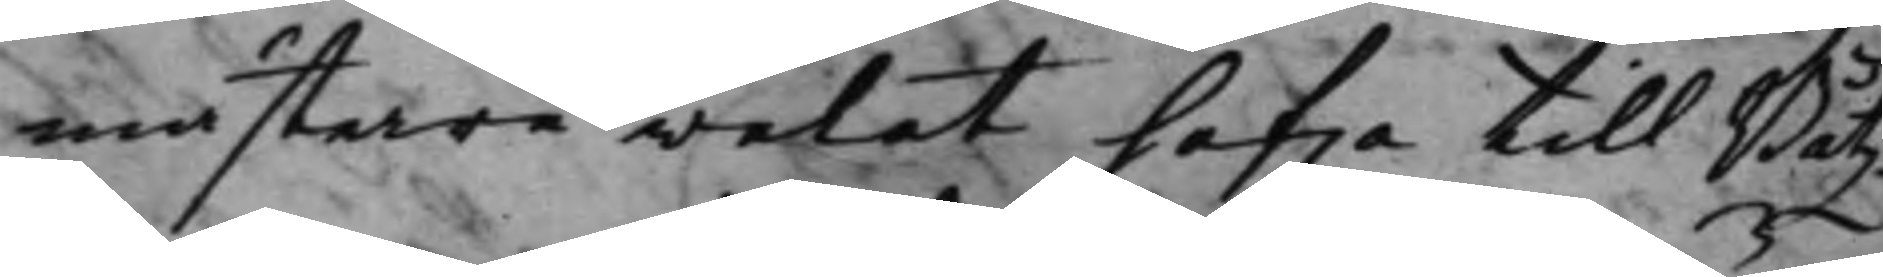mästare welat hafwa till Båtz¬
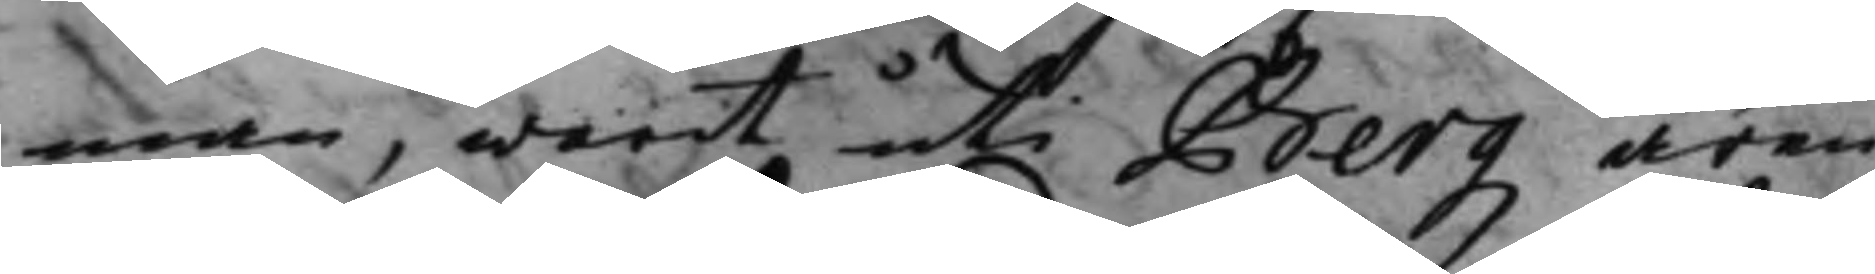man, warit uti Bergz ären¬
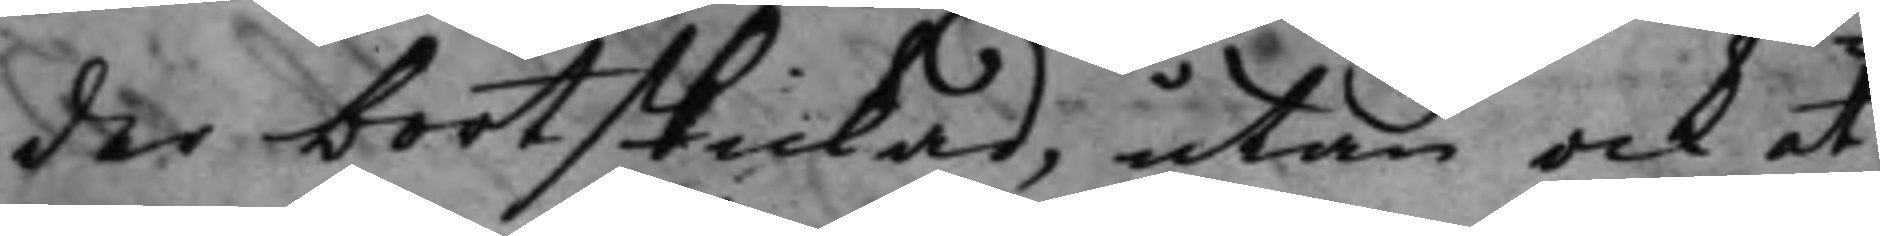der bortskickad, utan ock at
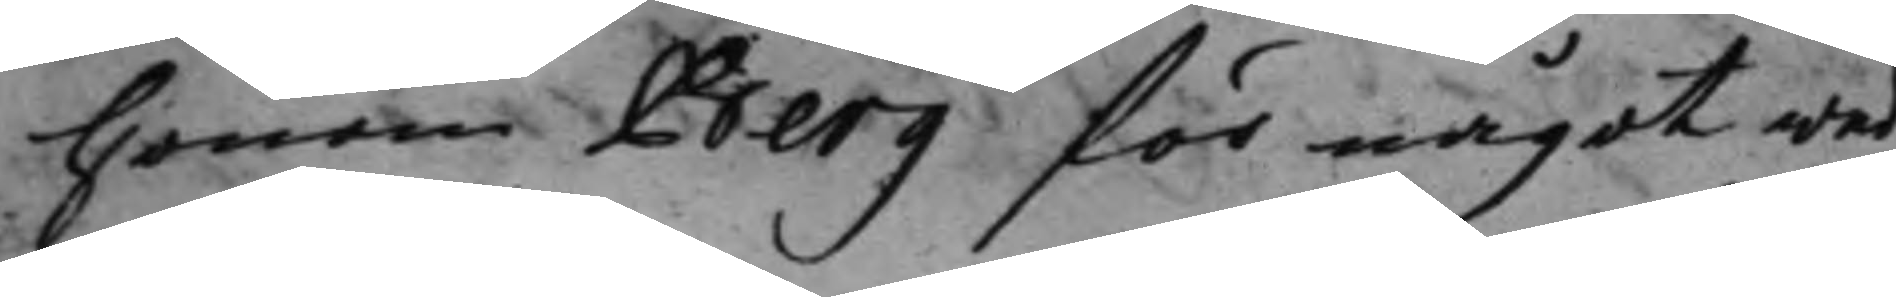honom Berg för något wed¬
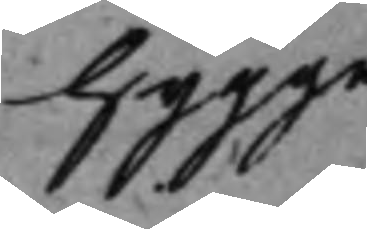hygge
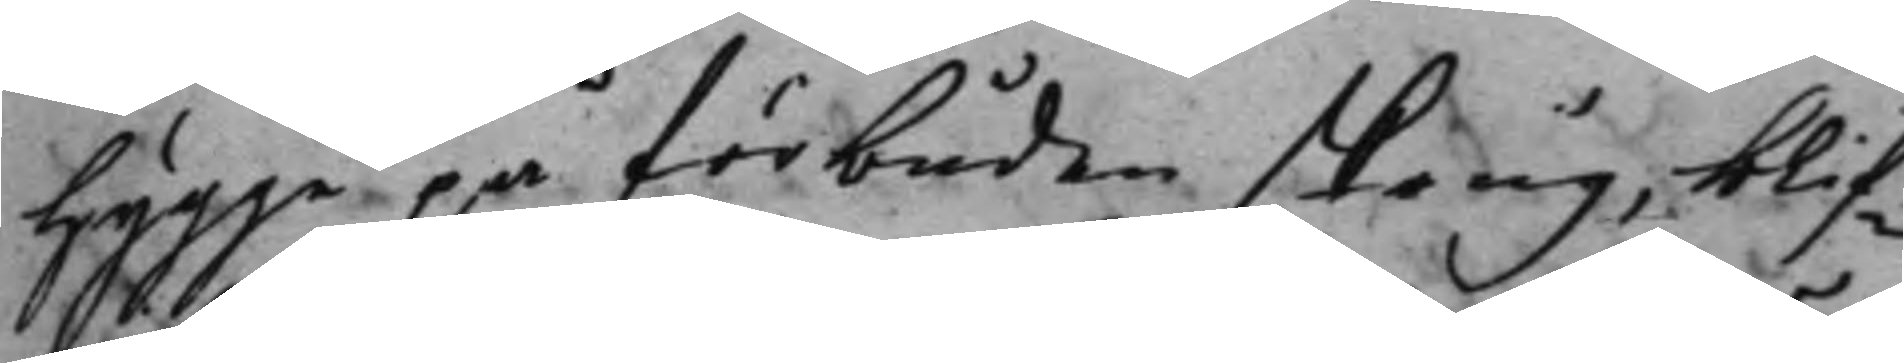hygge på förbuden skoug, blif¬
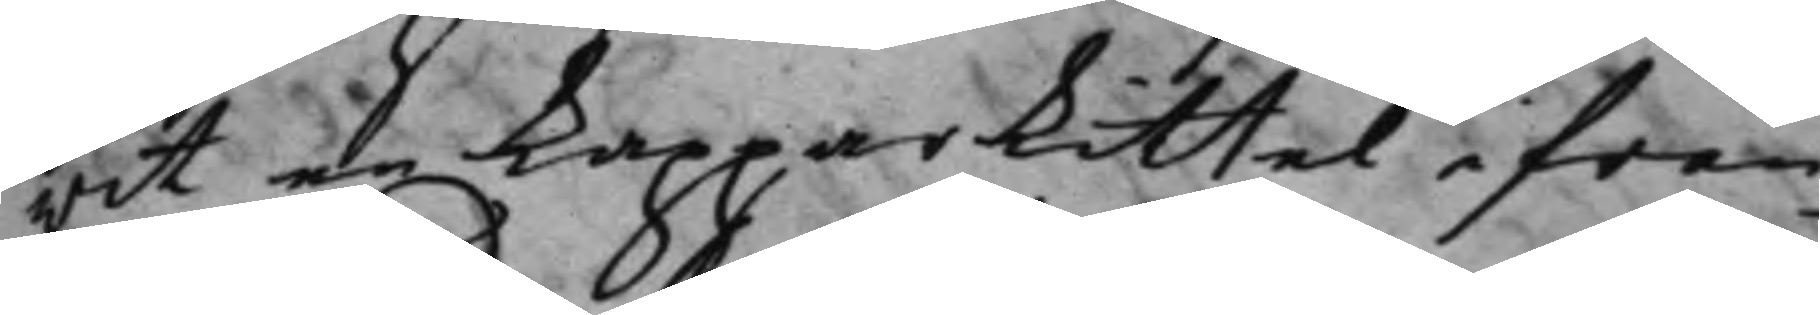wit en kopparlittel ifrån¬
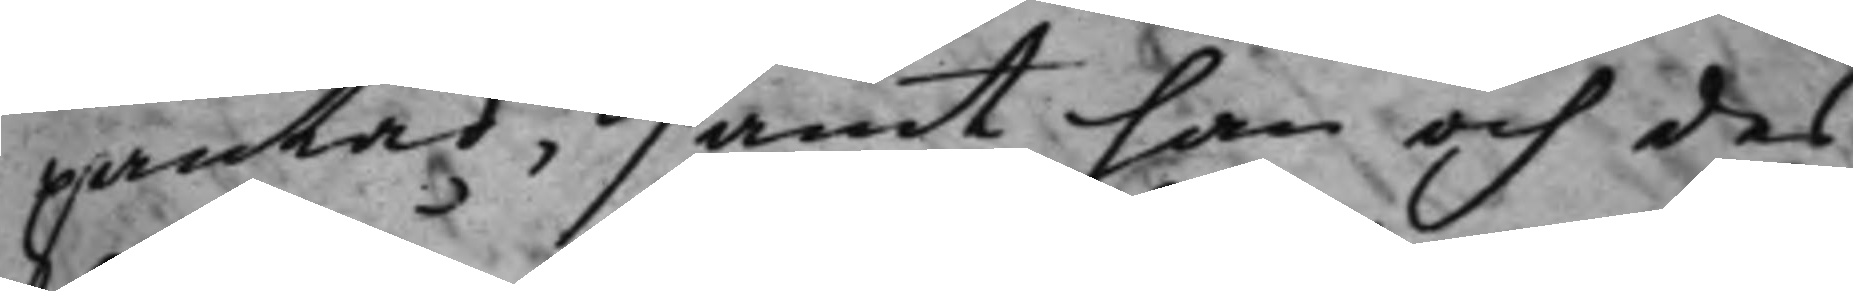pantad, samt han och des
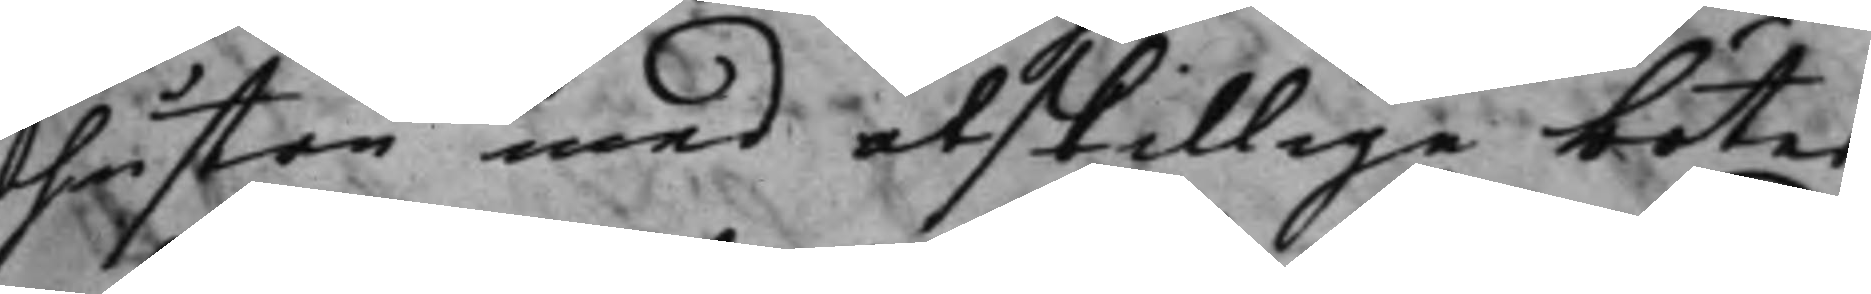hustru med åtskillige böter
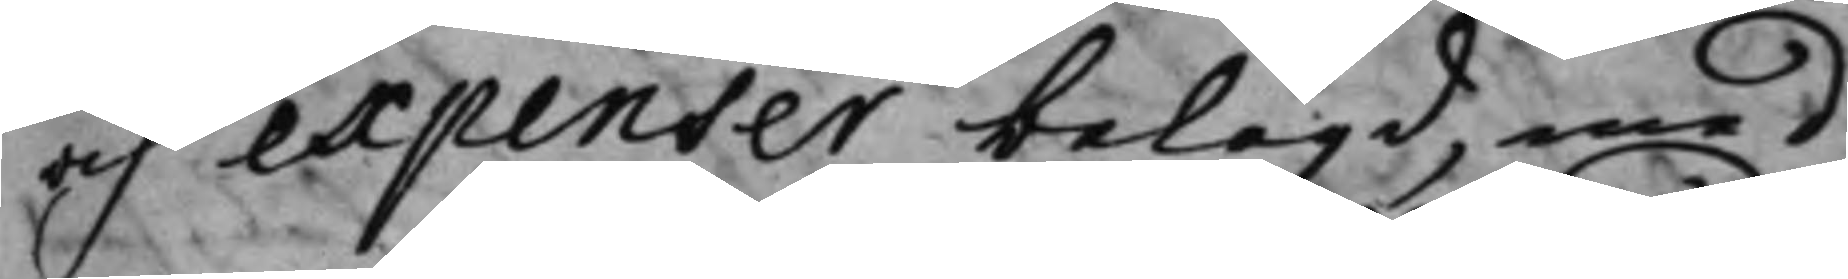och expenser belagd, med
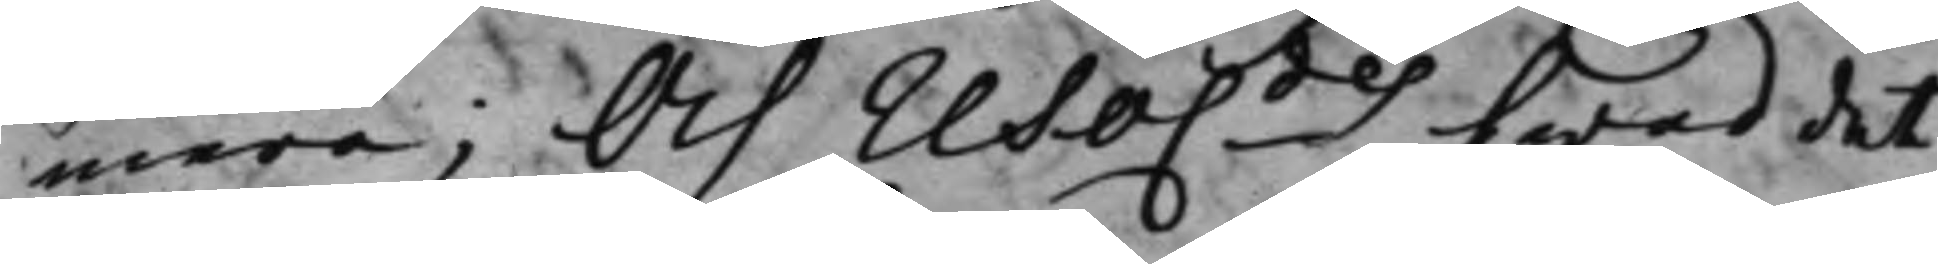mera; Och reso.des hwad det
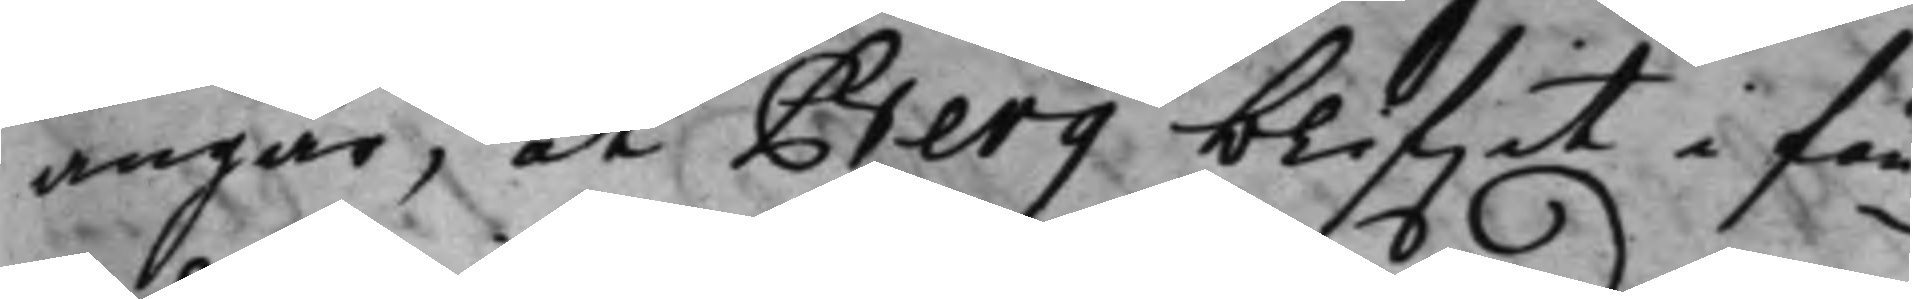angår, at Berg blifwit i fän¬
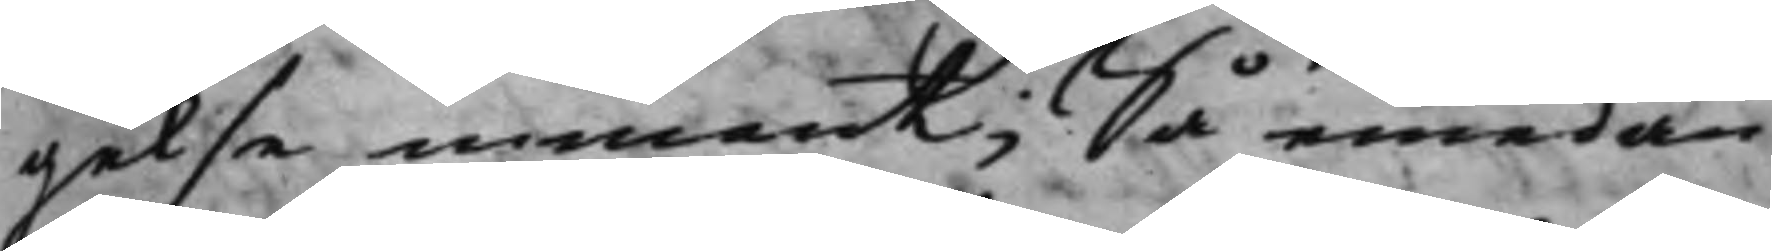gelse inmant; Så emedan
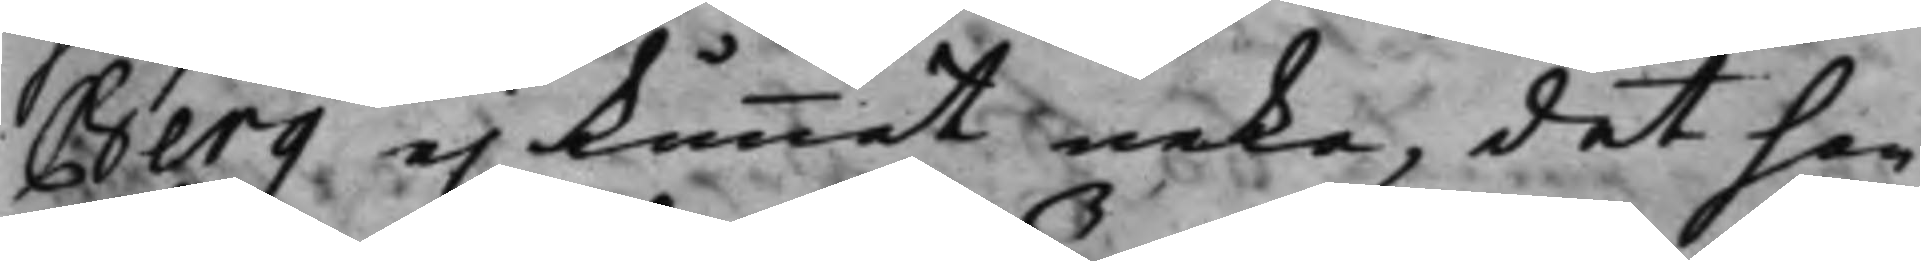Berg ej kunnat neka, det han
